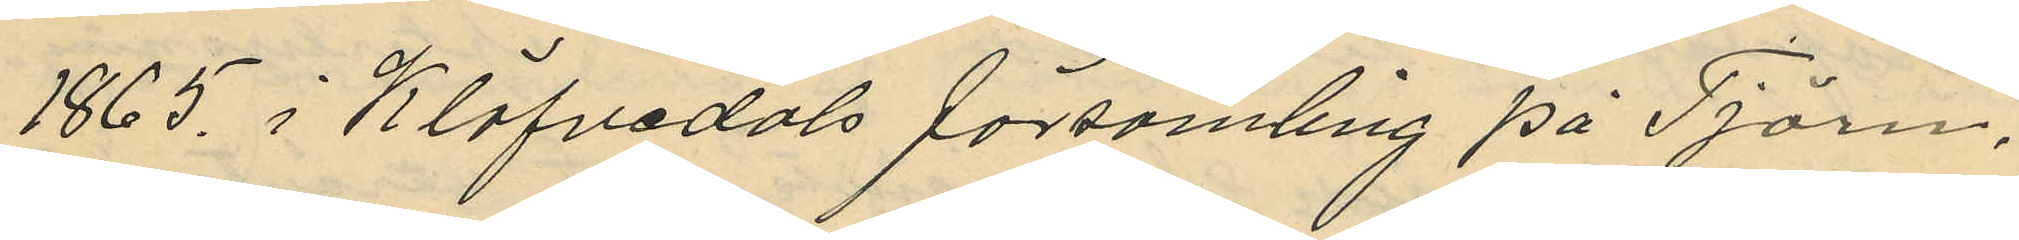1865 i Klöfvedals församling på Tjörn,
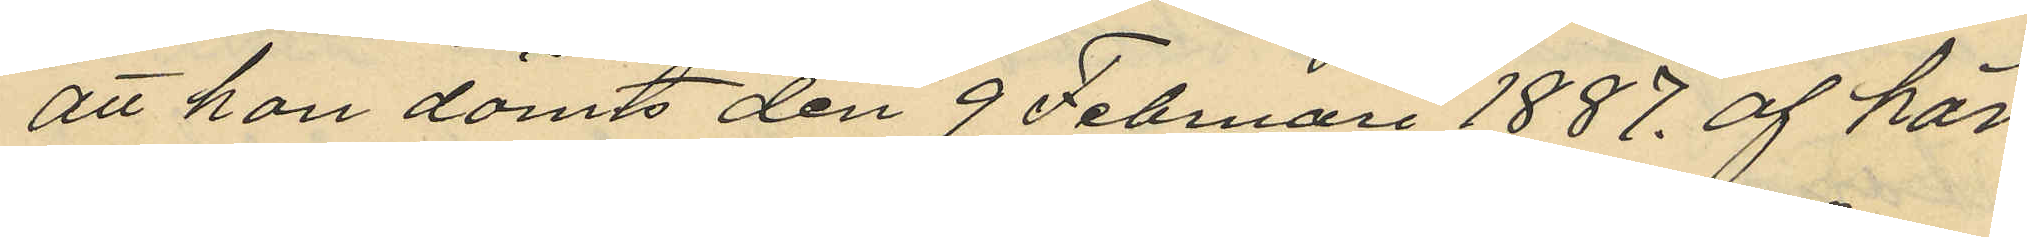att han dömts den 9 Februari 1887. af här
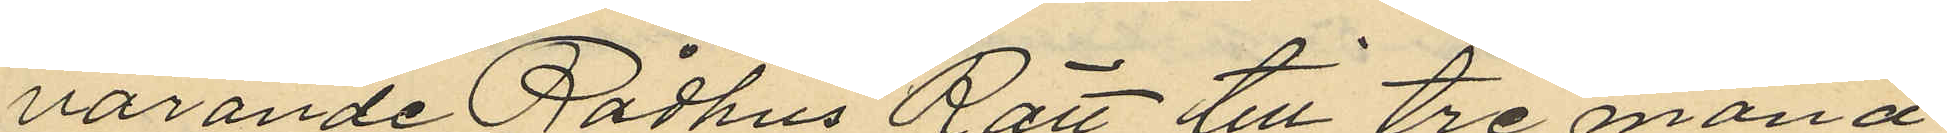varande Rådhus Rätt till tre måna¬
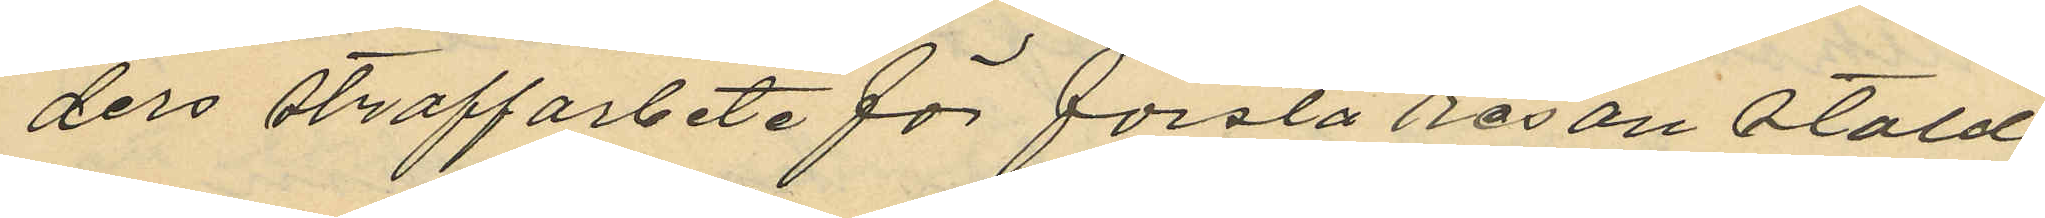ders straffarbete för första resan stöld
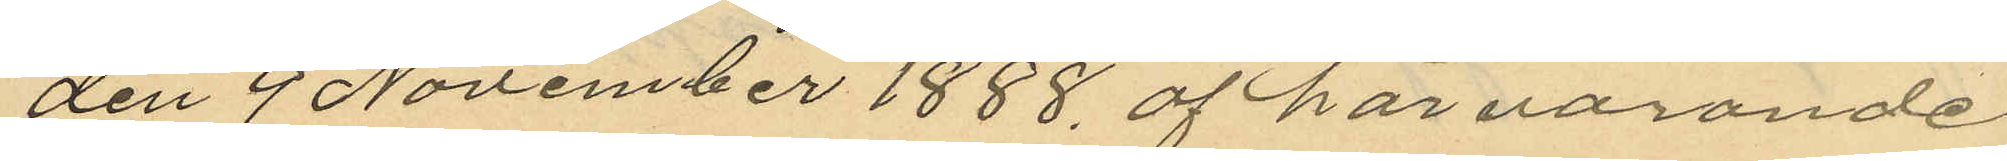den 9 November 1888, af härvarande
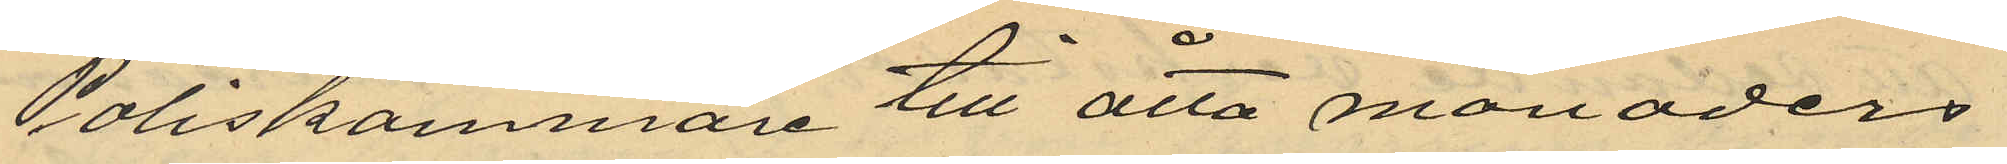Poliskammare till åtta månaders
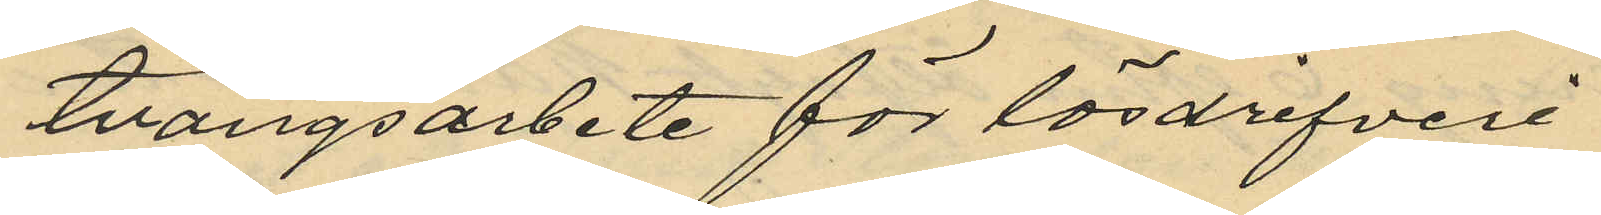tvångsarbete för lösdrifveri
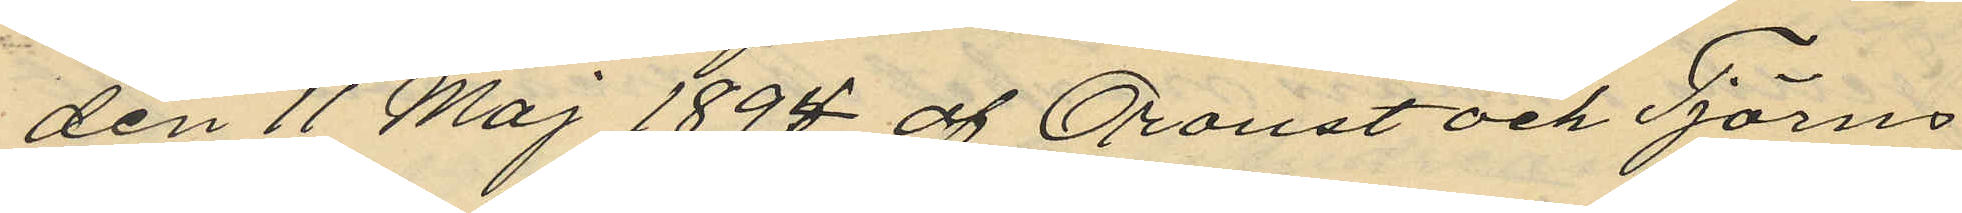den 11 Maj 1894 af Orust och Tjörns
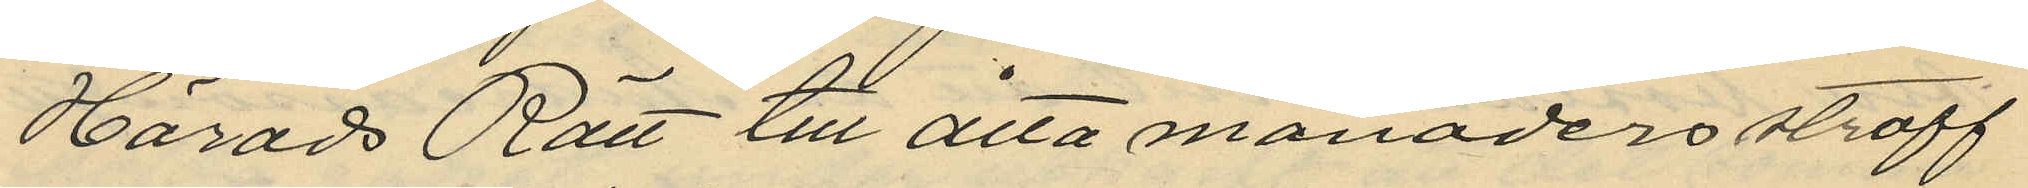Härads Rätt till åtta månaders straff¬
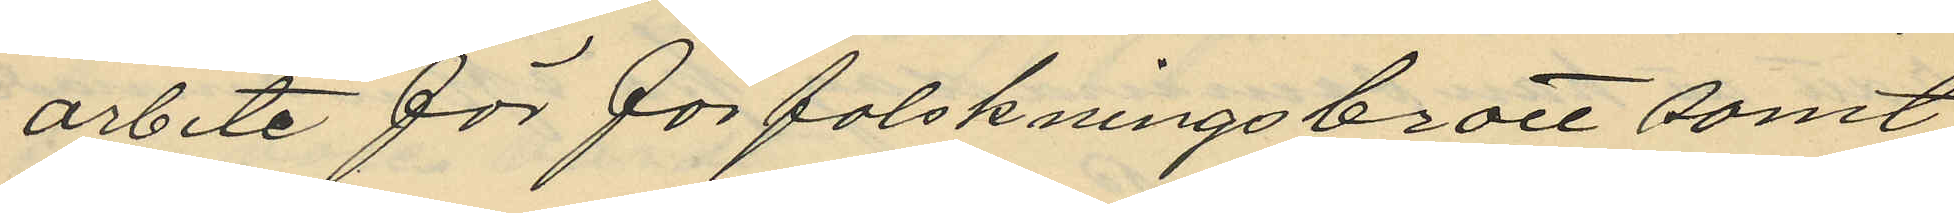arbete för förfalskningsbrott samt
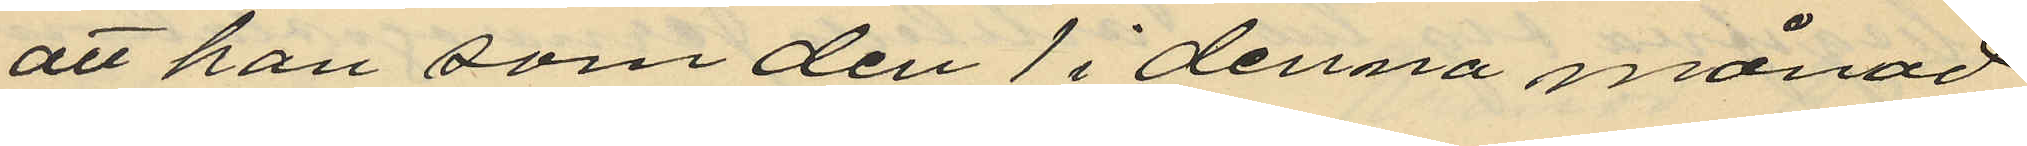att han som den 1 i denna månad
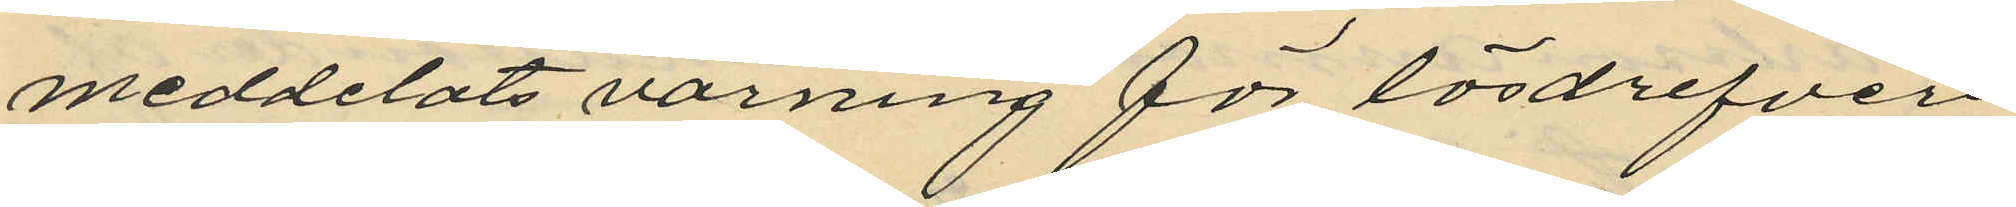meddelats varning för lösdrifveri
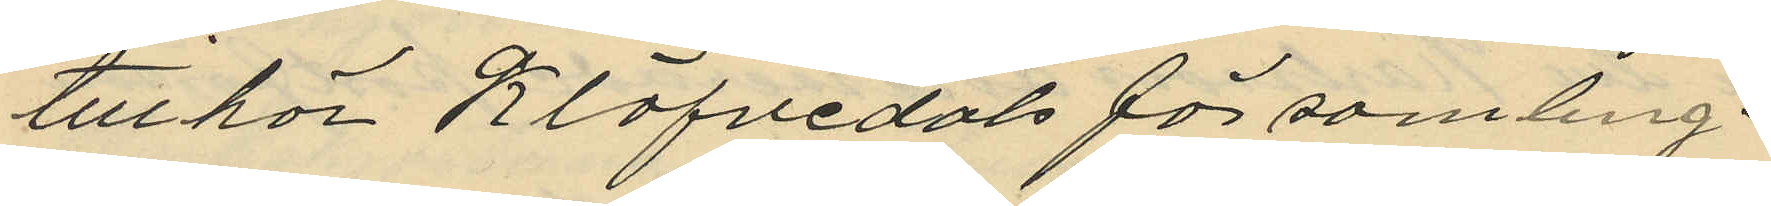tillhör Klöfvedals församling.
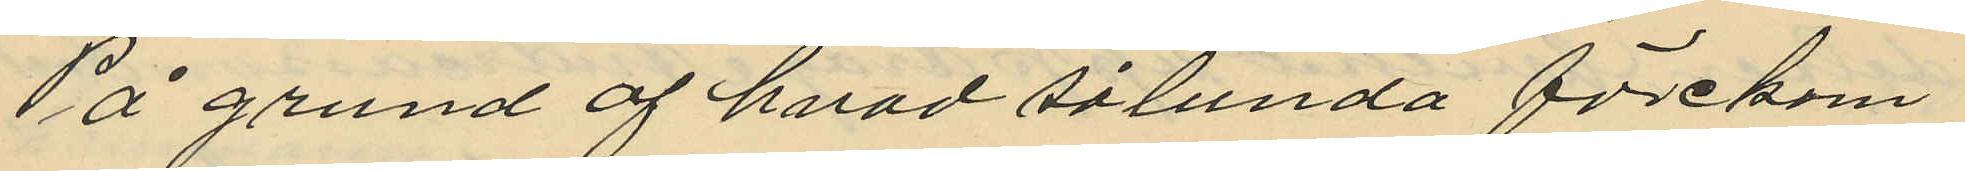På grund af hvad sålunda förekom¬
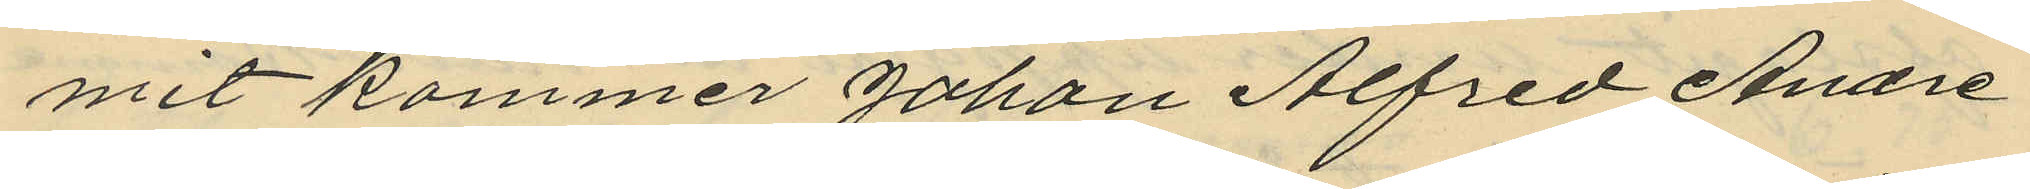mit kommer Johan Alfred Andre¬
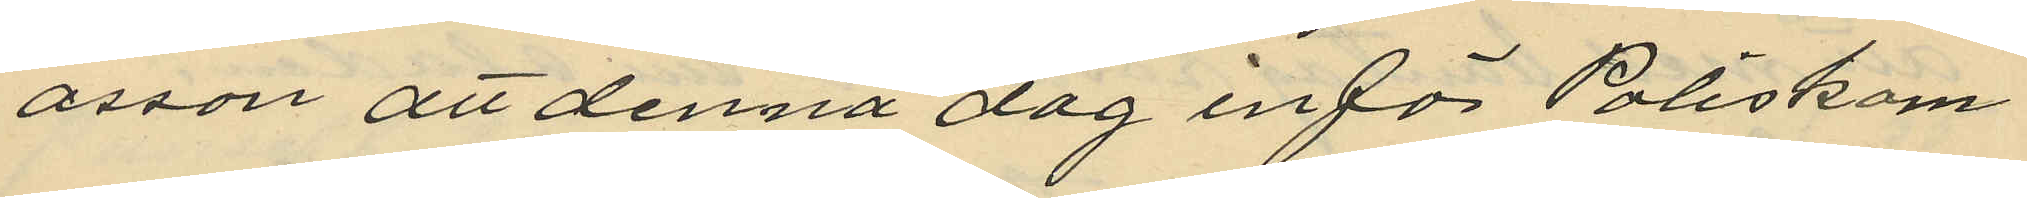asson att denna dag inför Poliskam¬
